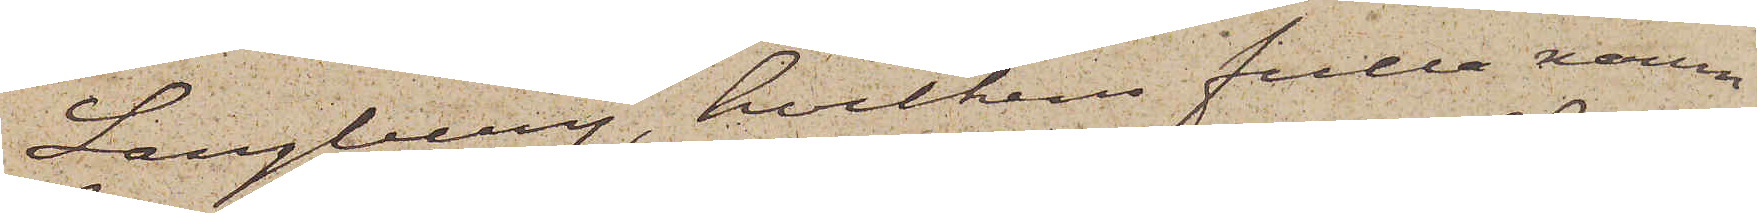Langberg, hvilkens fulla namn
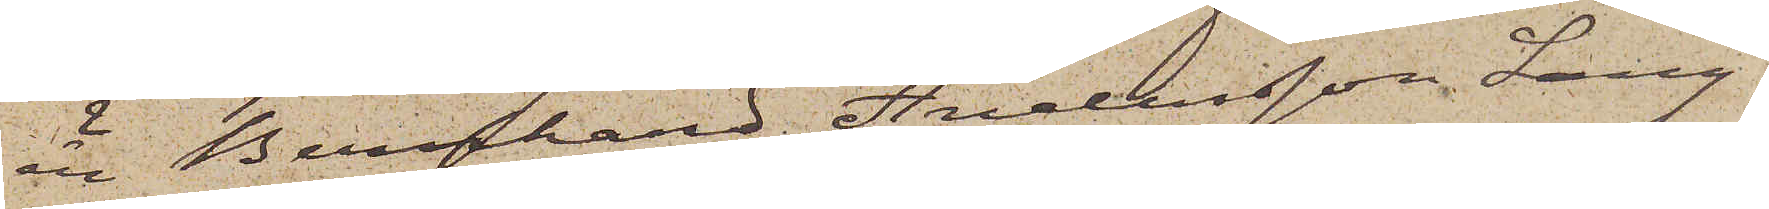är Bernhard Andersson Lang¬
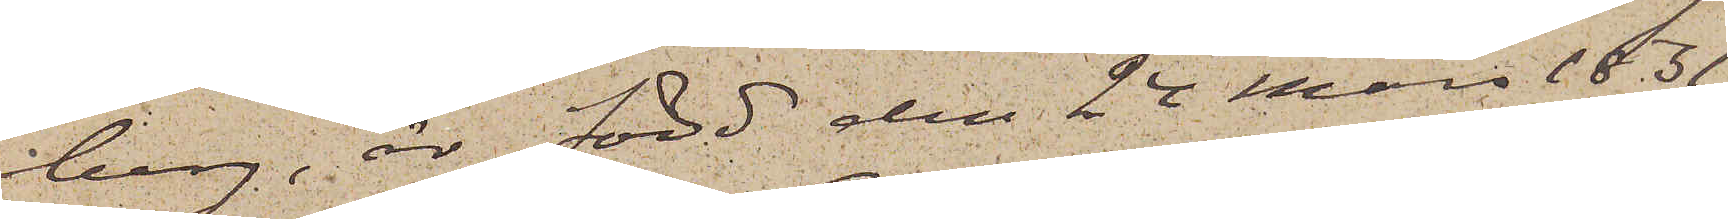berg, är född den 24 Mars 1831
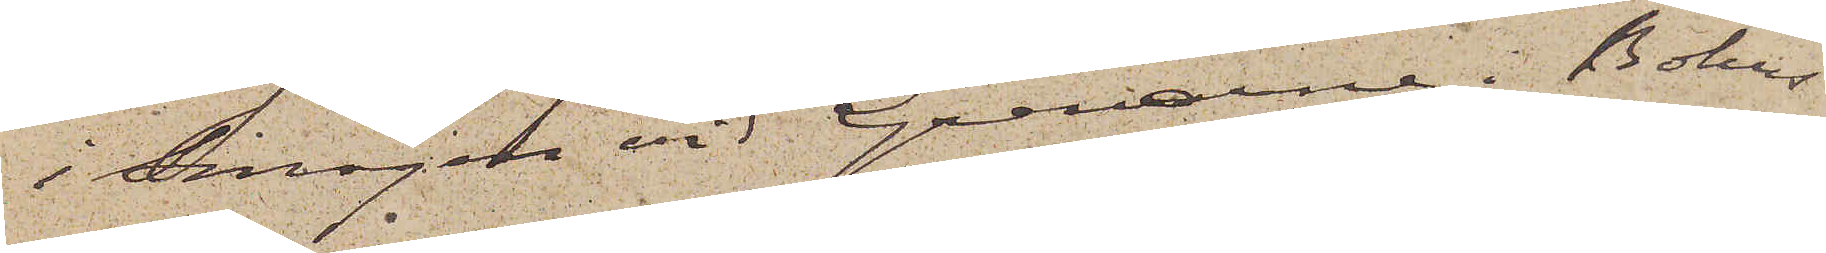i Smögen vid Gravarne i Bohus
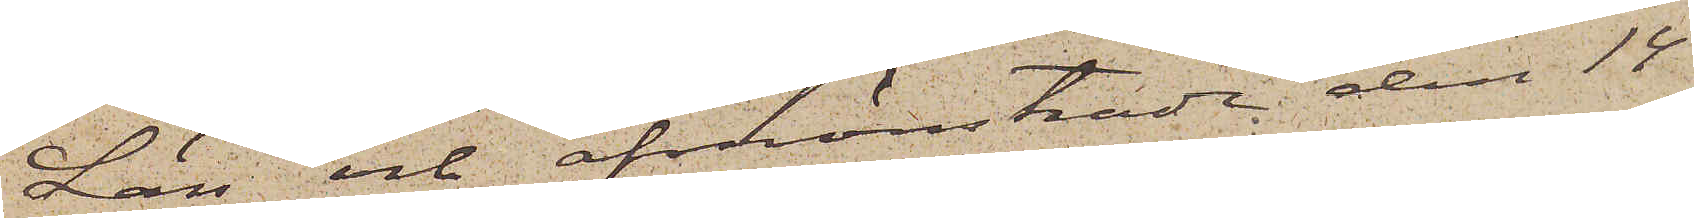Län och afmönstrade den 14
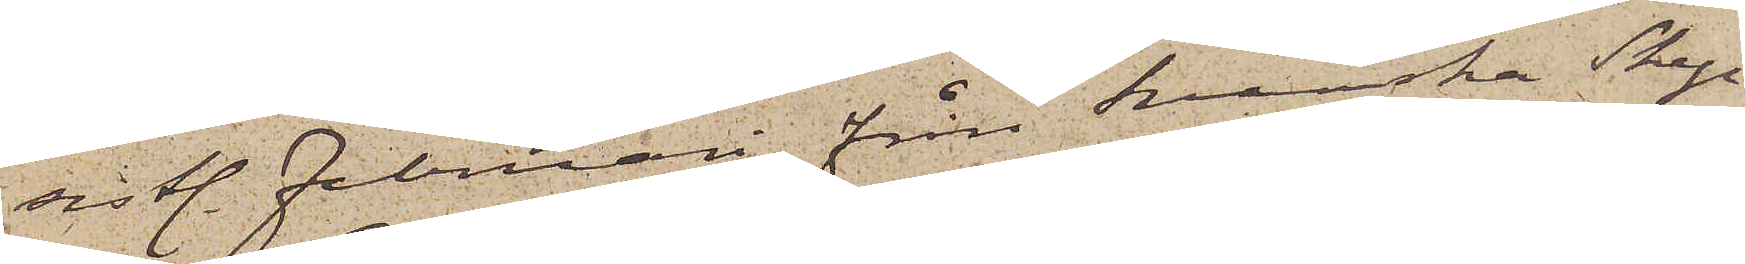sistl. Februari från Svenska Skep¬
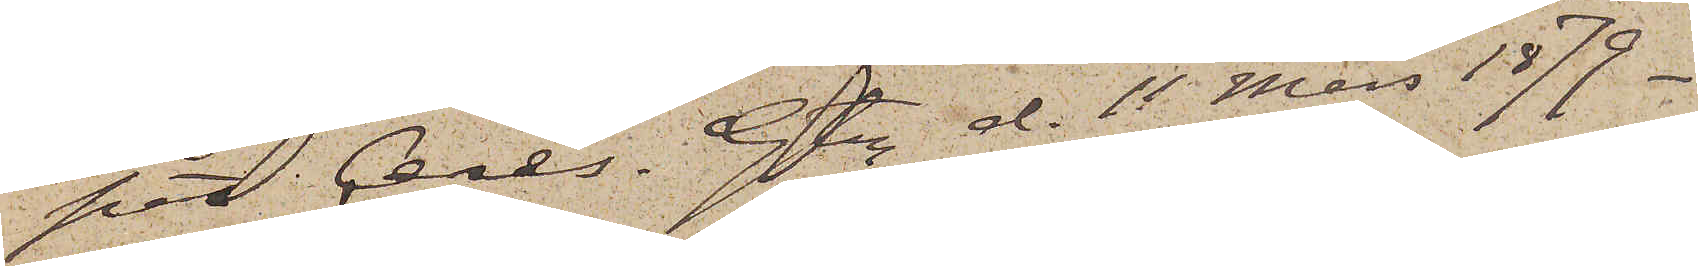pet Ceres. Gtbg d. 11 Mars 1879.
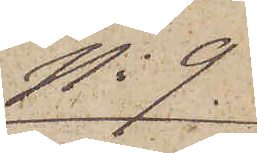No 9.
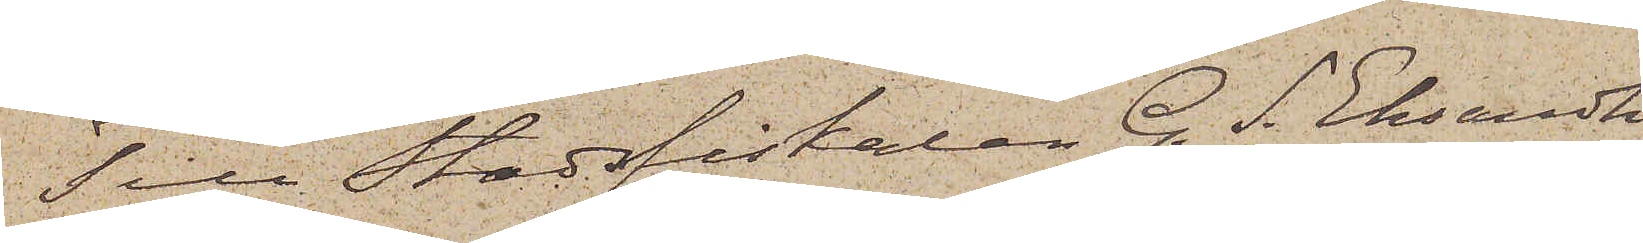Till Stadsfiskalen G. S. Eksandh
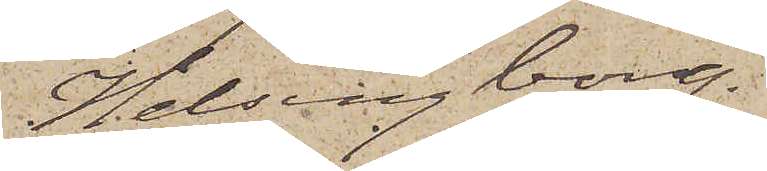Helsingborg.
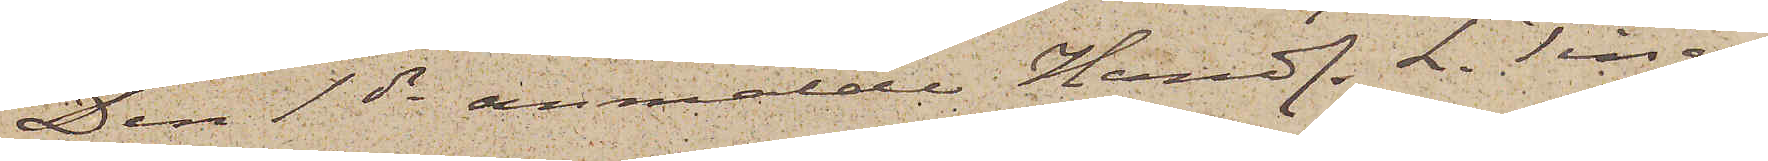Den 1 ds anmälde Handl. L. Ting¬
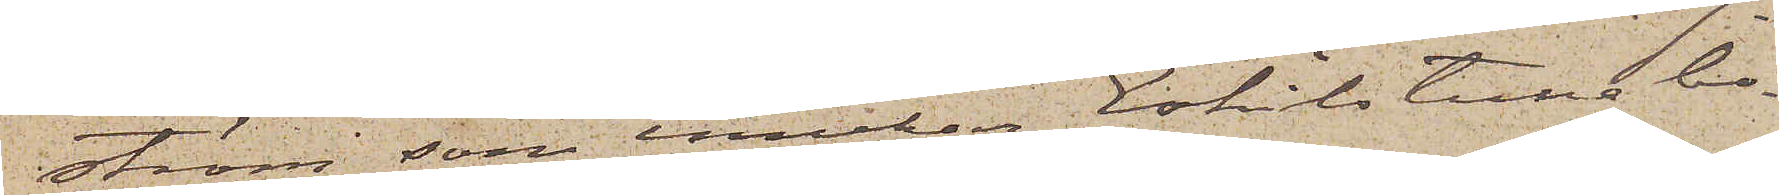ström, som innehar Eskilstunabo¬
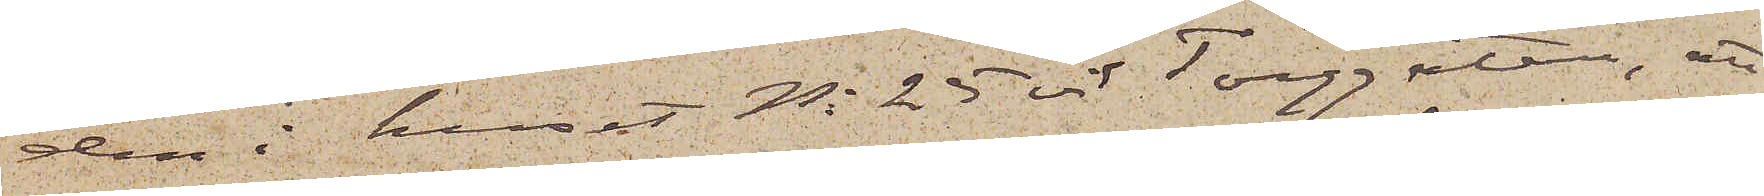den i huset No 25 vid Torggatan, att
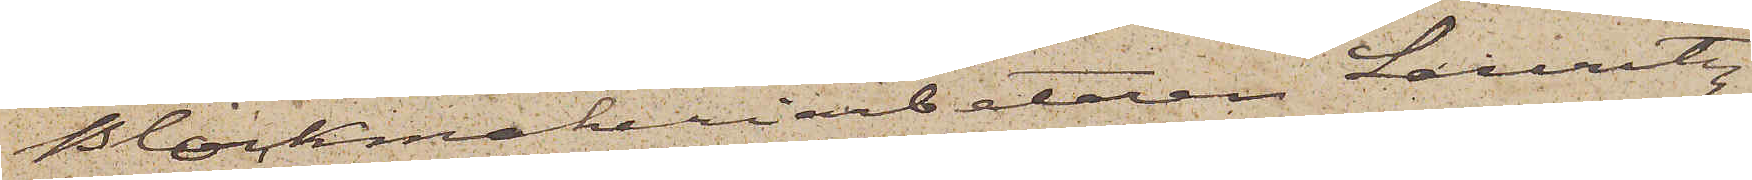Blockmakeriarbetaren Lauritz
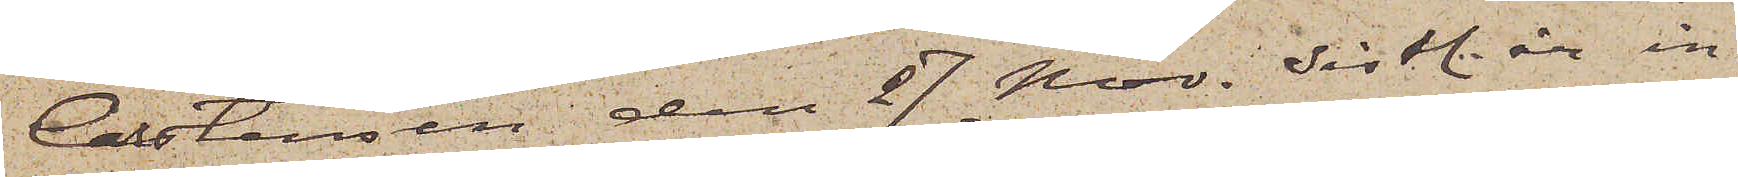Carstensen den 27 Nov. sistl. år in¬
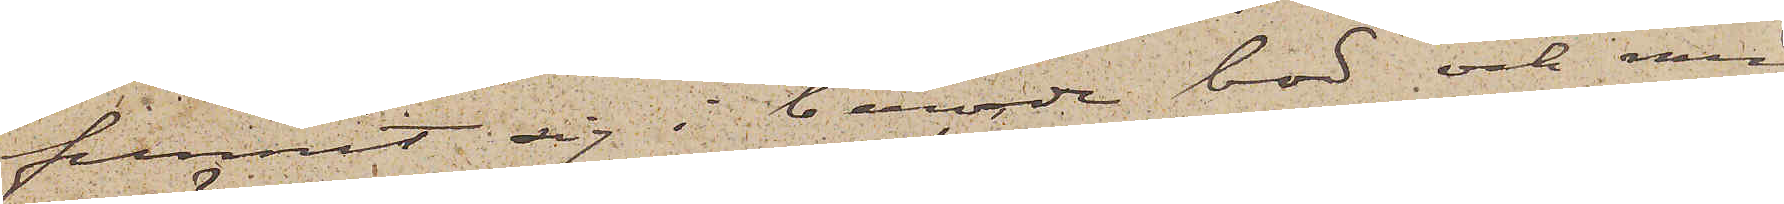funnit sig i berörde bod och med
